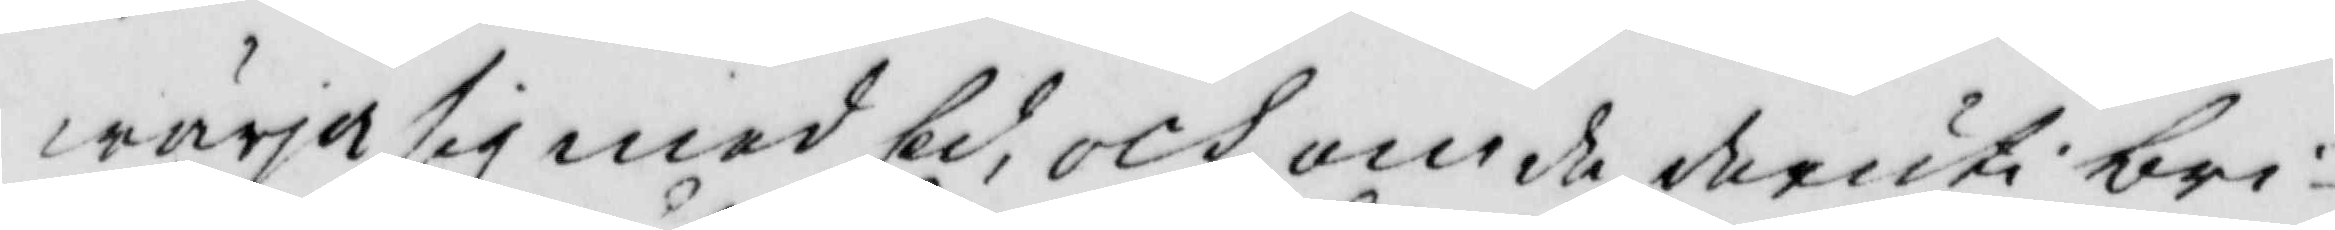wärja sig med Ed, och om de deruti bri¬
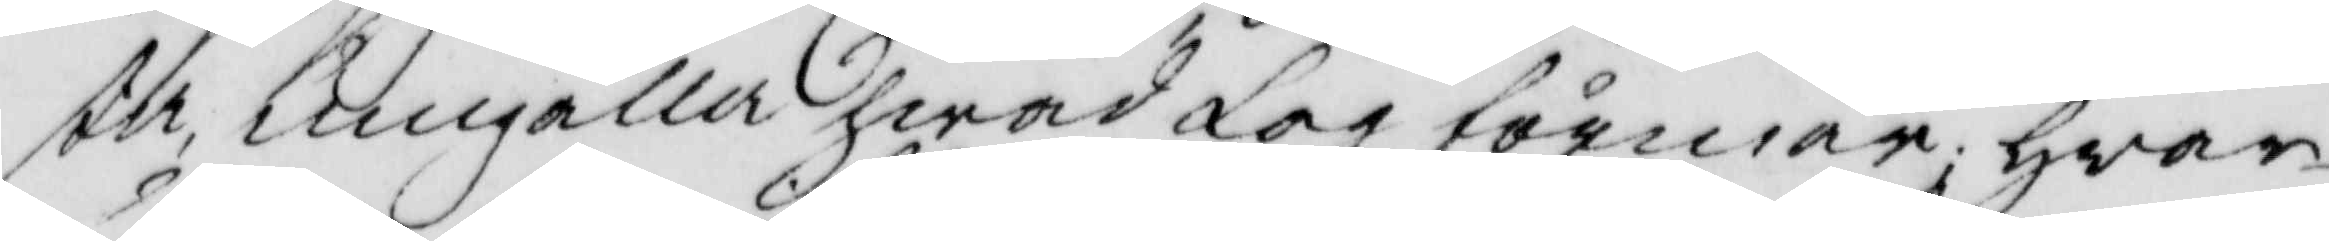sta umgälla hwad lag förmår, hwar
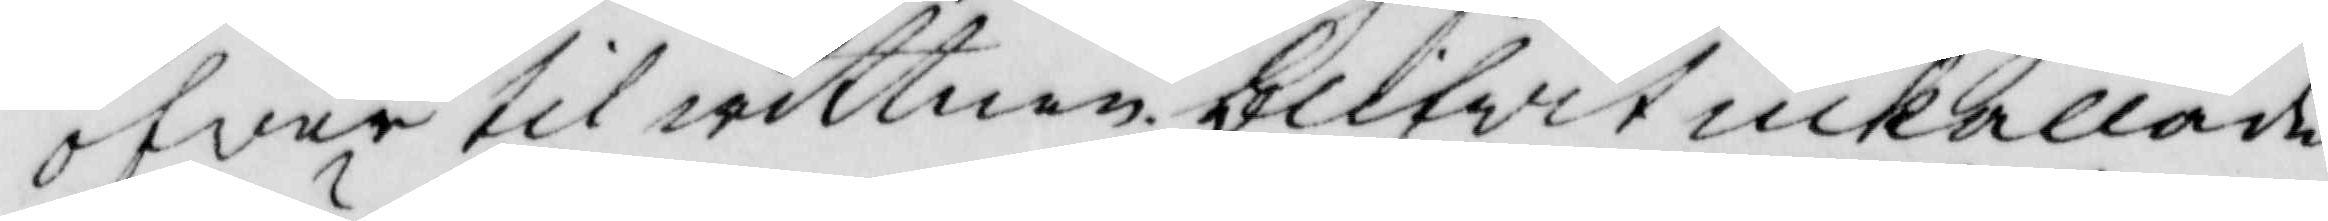öfwer til wittnen blifwit inkallade
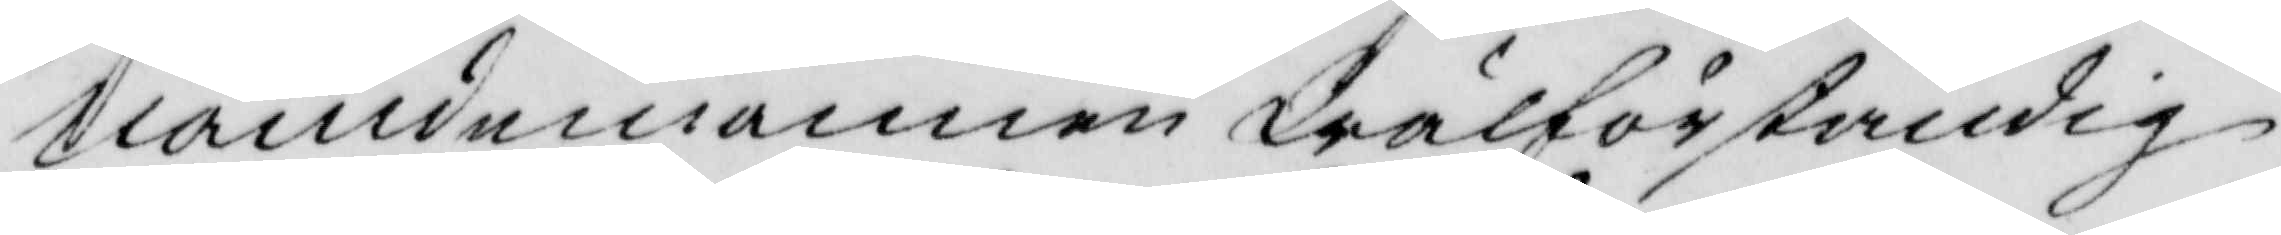nämdemannen Wälförståndig
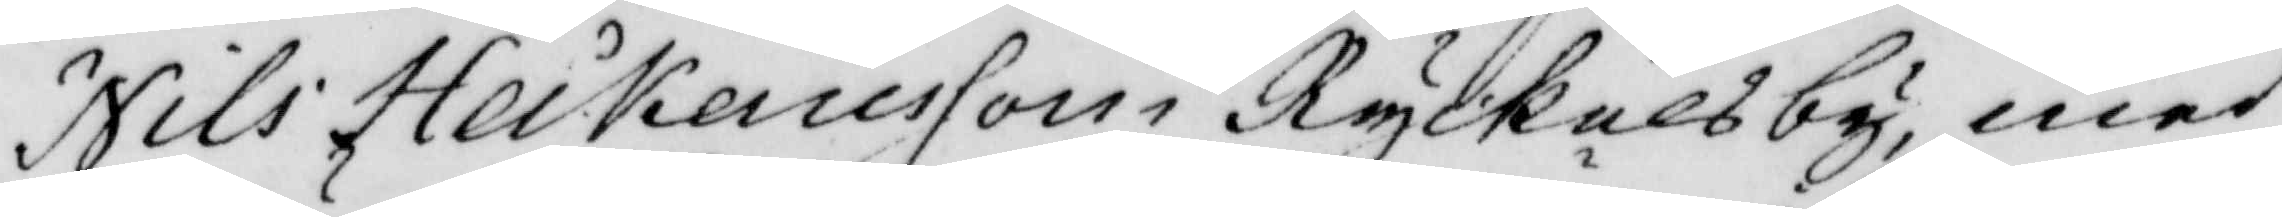Nils Heikenesson i Ryckelsby, med
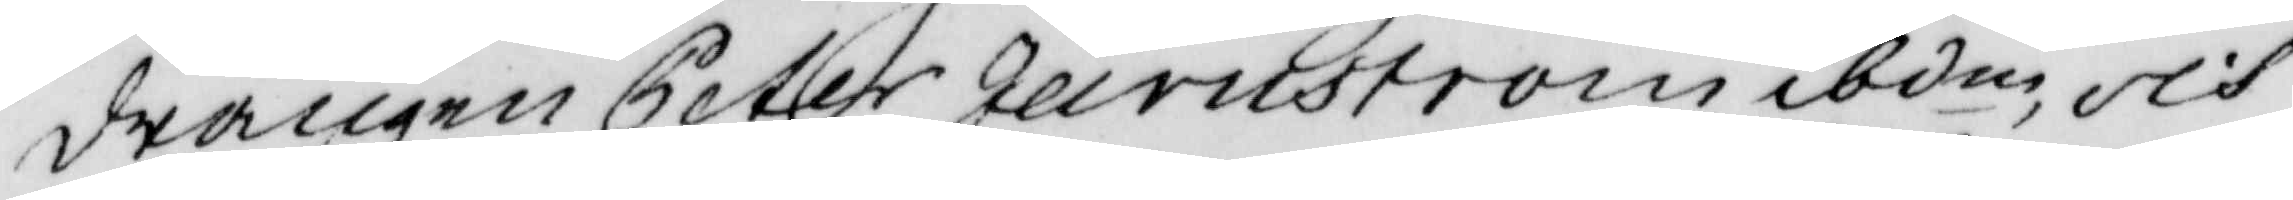drängen Peter Järnström ibdm, och
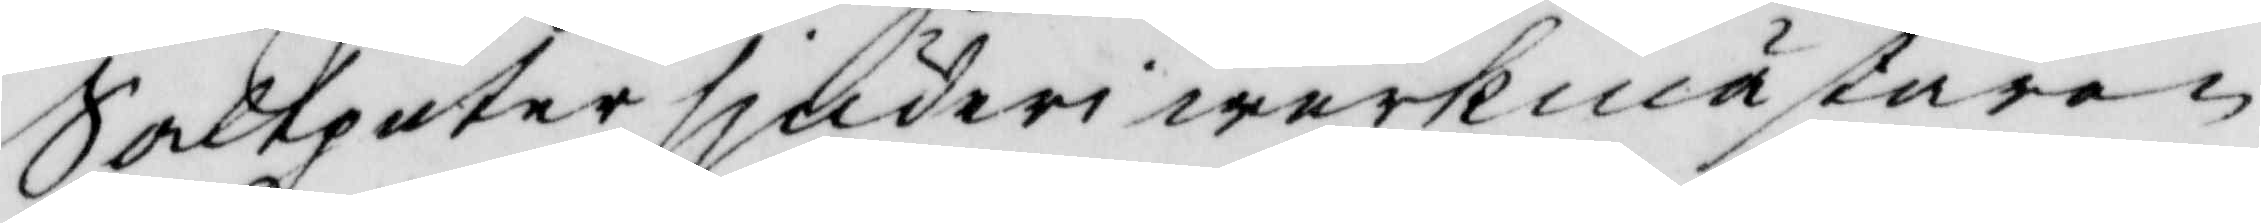Salpeter sjuderiwerkmästaren
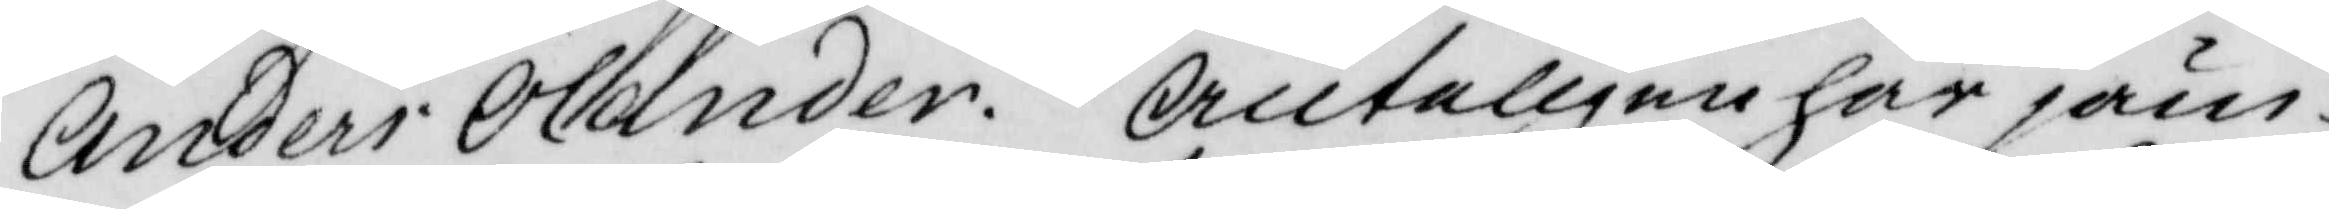Anders Olander. Änteligen har jäm¬
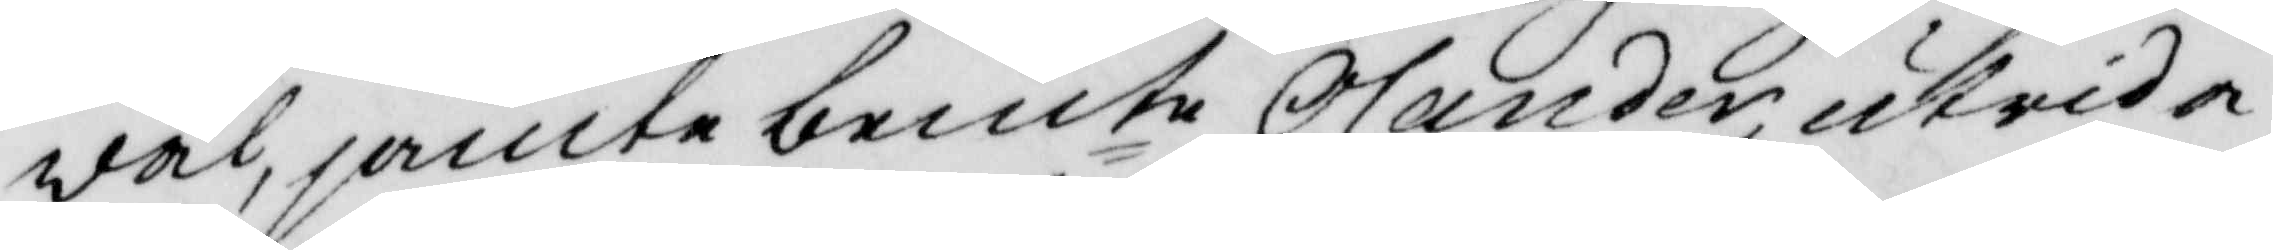wäl, jämte bemte Olander, utrida¬
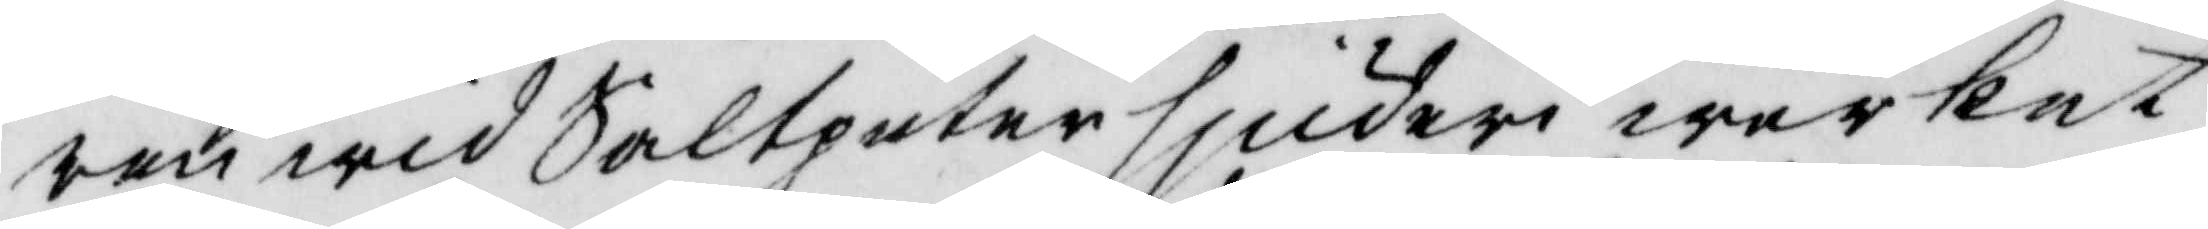ren wid Saltpetersjuderiwerket
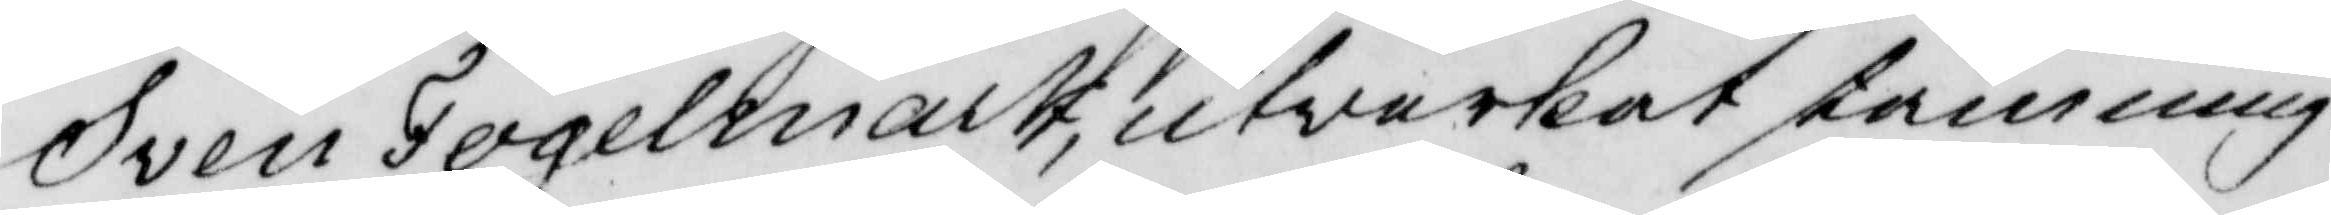Sven Tegelmark, utverkat stämning
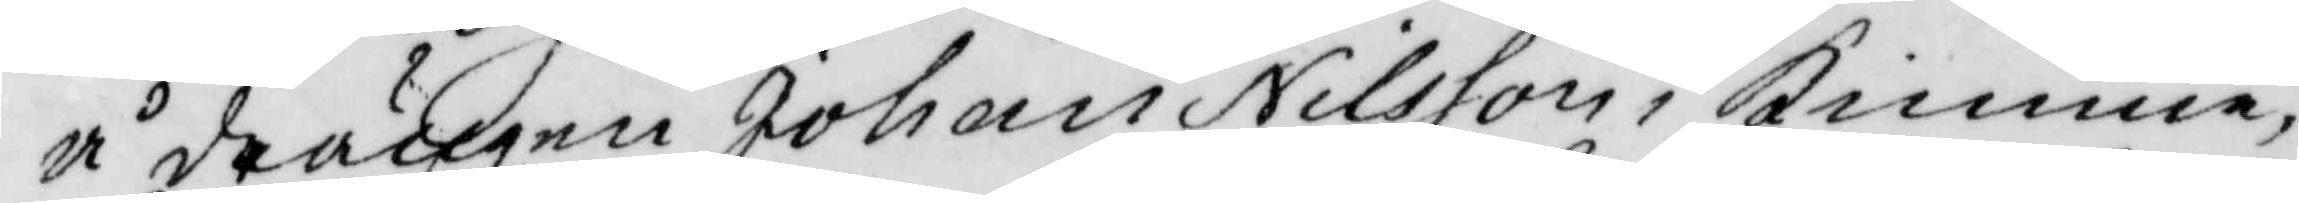å drängen Johan Nilsson i Kimme,
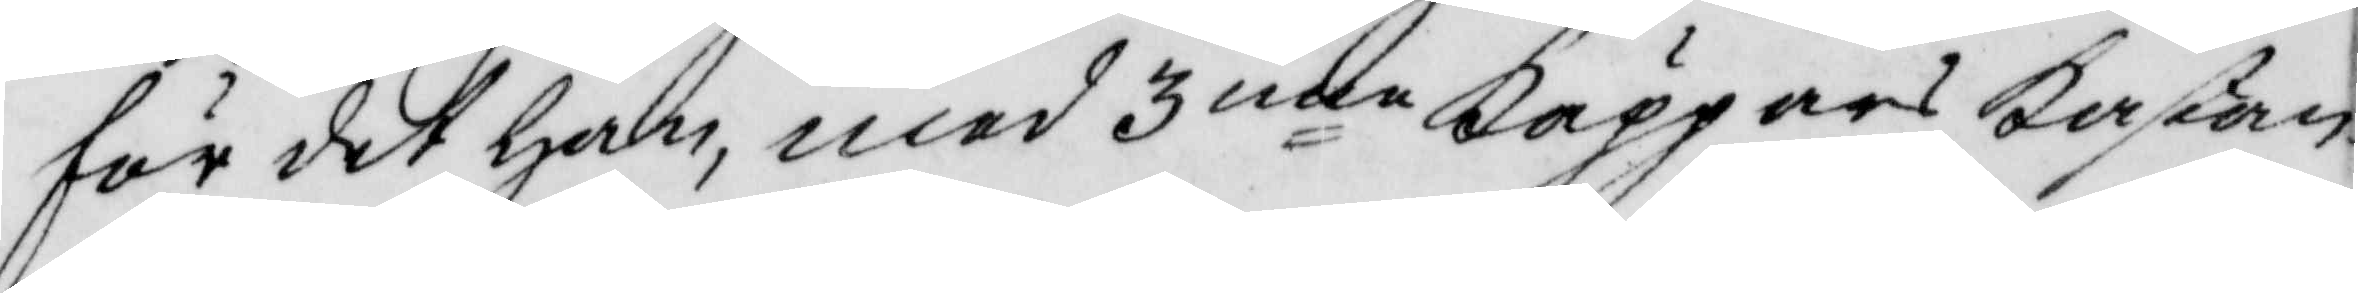för det han, med 3nne käppars kastan¬
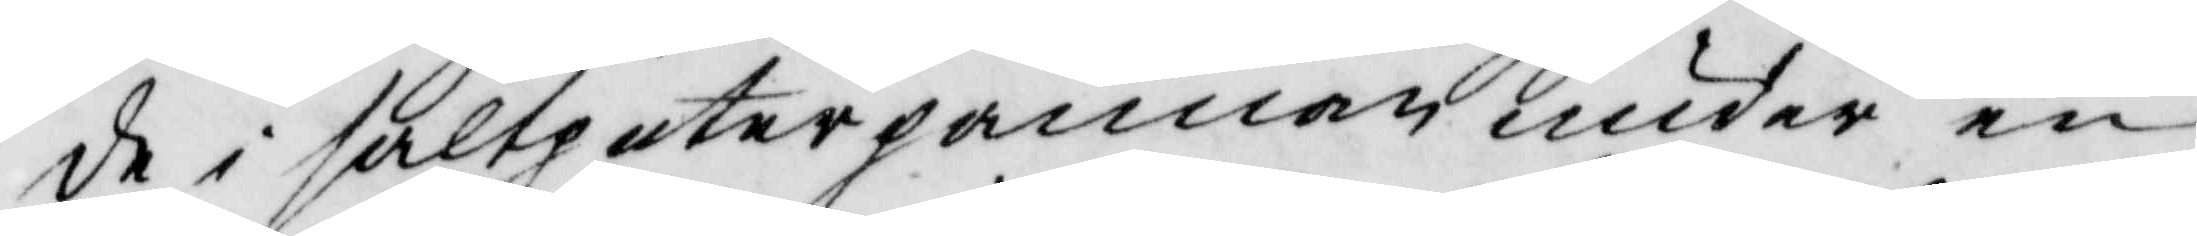de i saltpeterpannan under en
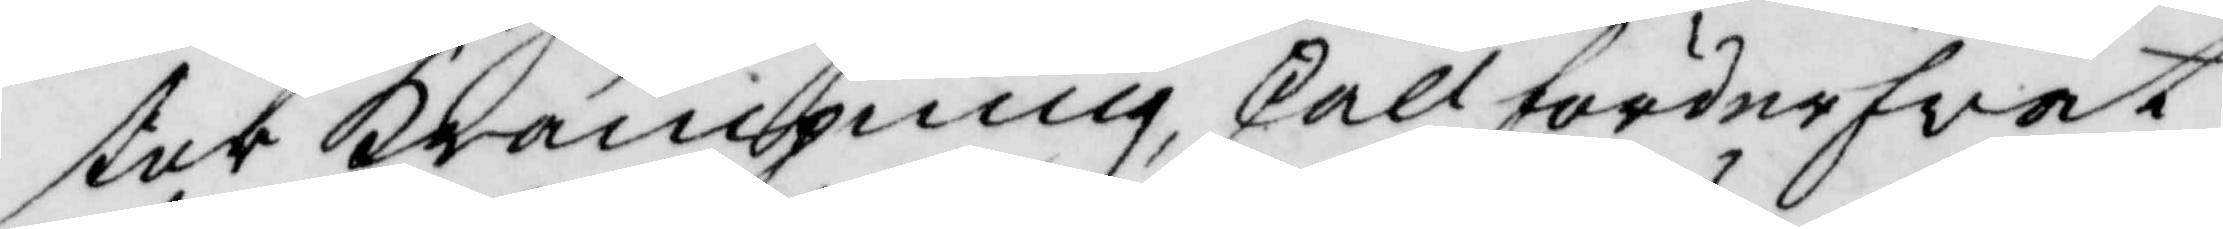stor krämpning skall förderfvat 
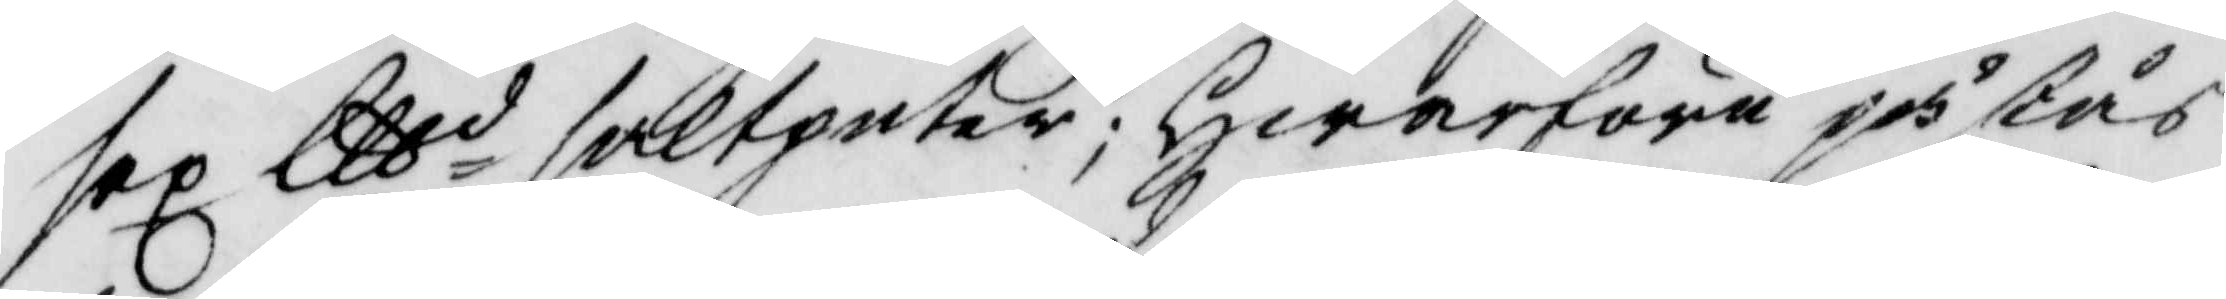sex lttd salpeter; Hwarföre påstås
